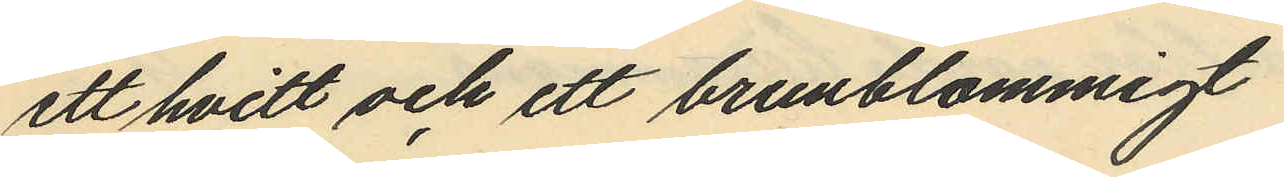ett hvitt och ett brunblommigt
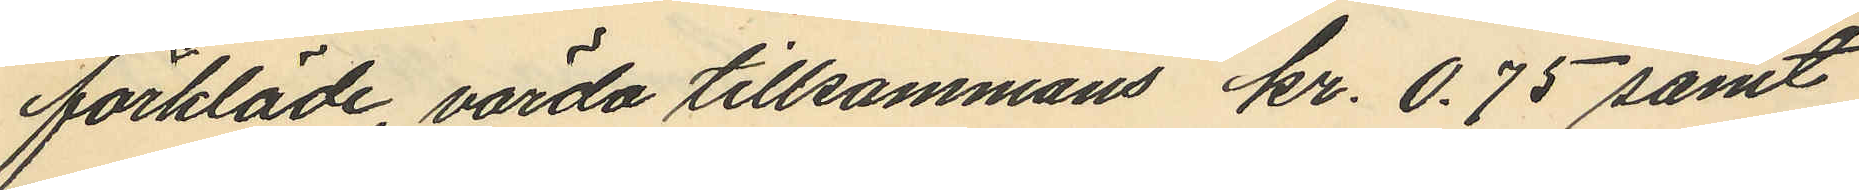förkläde, värda tillsammans kr. 0.75 samt
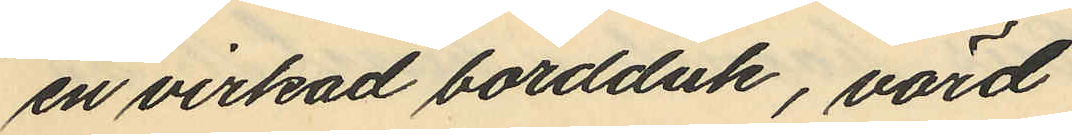en virkad bordduk, värd
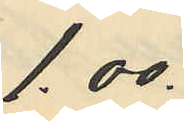1.00.
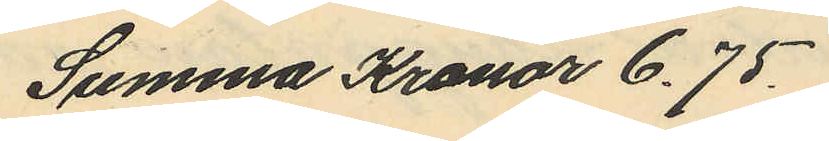Summa Kronor 6.75.
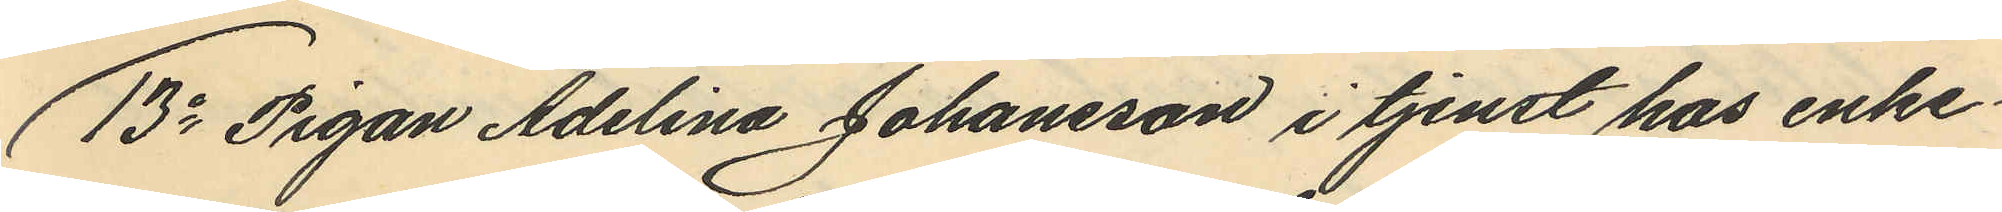13o Pigan Adelina Johansson i tjenst hos enke¬
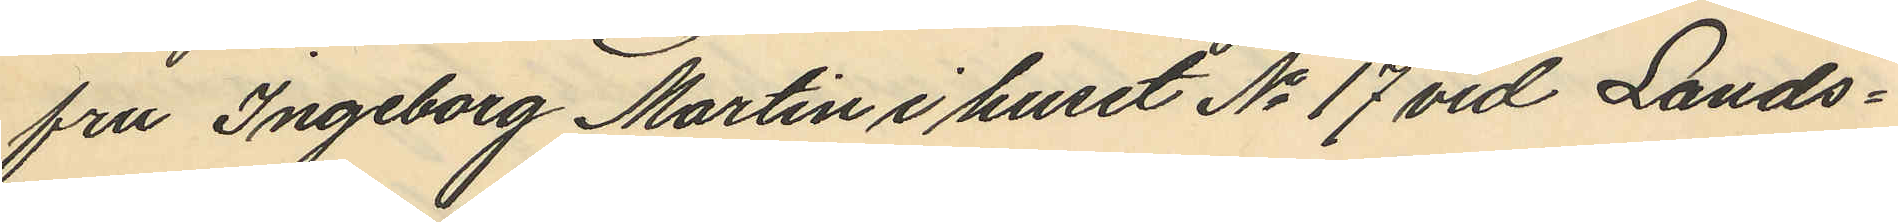fru Ingeborg Martin i huset No 17 vid Lands¬
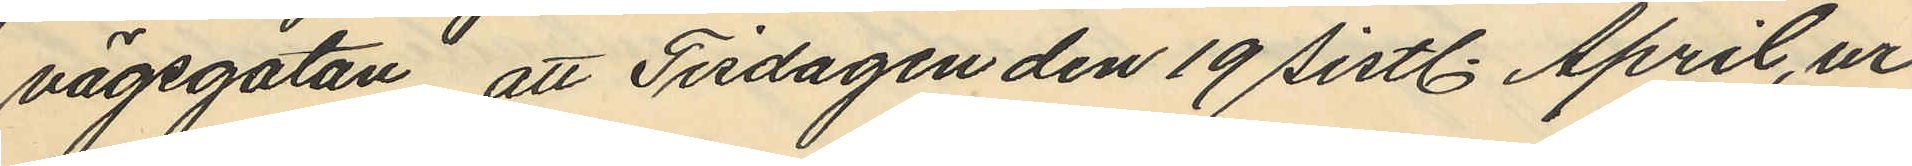vägsgatan, att Tisdagen den 19 sistl. April, ur
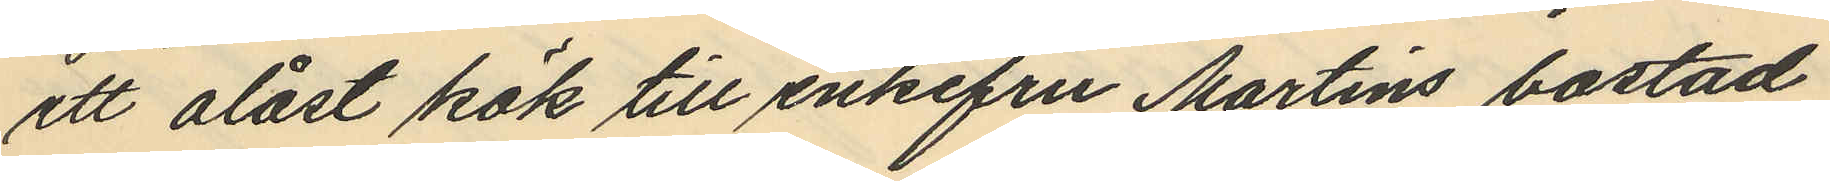ett olåst kök till enkefru Martins bostad
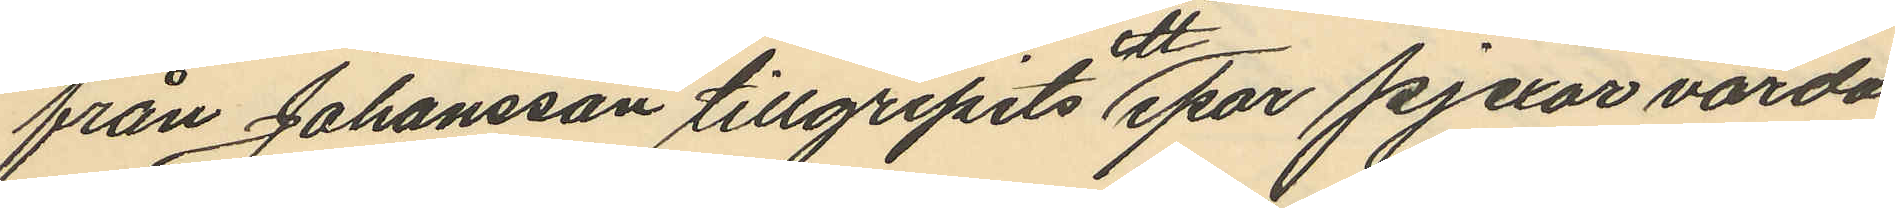från Johansson tillgripits ett par pjexor värda
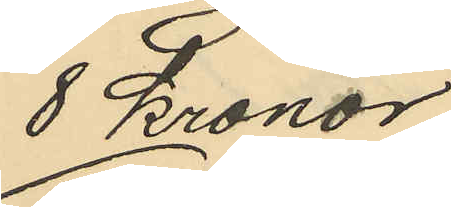8 Kronor
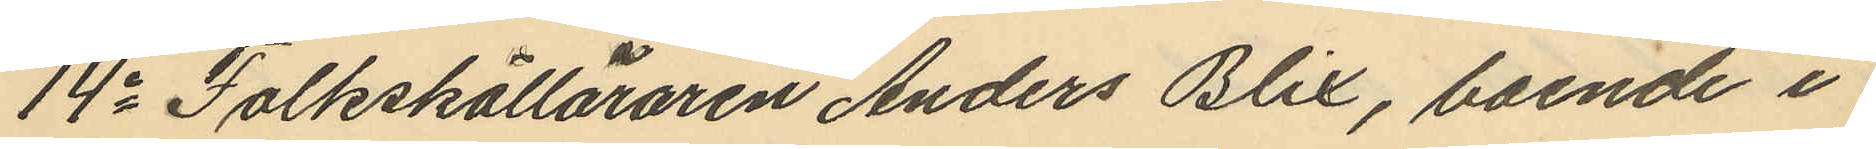14o Folkskolläraren Anders Blix, boende i
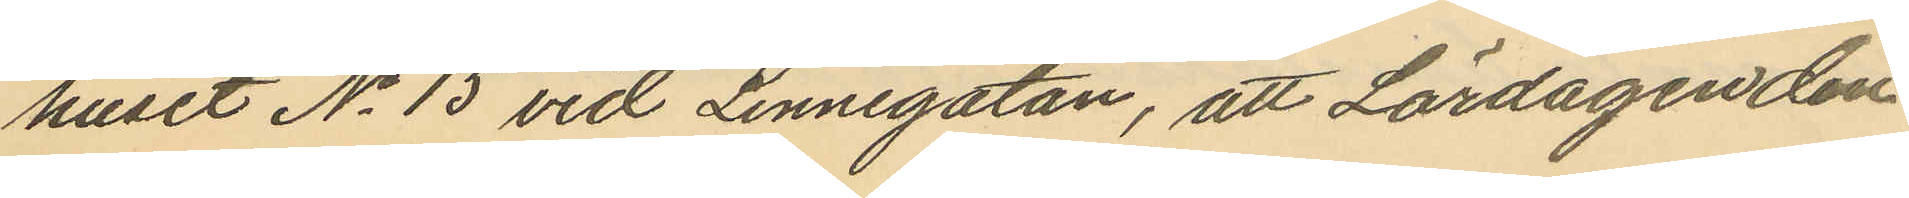huset No 15 vid Linnégatan, att Lördagen den
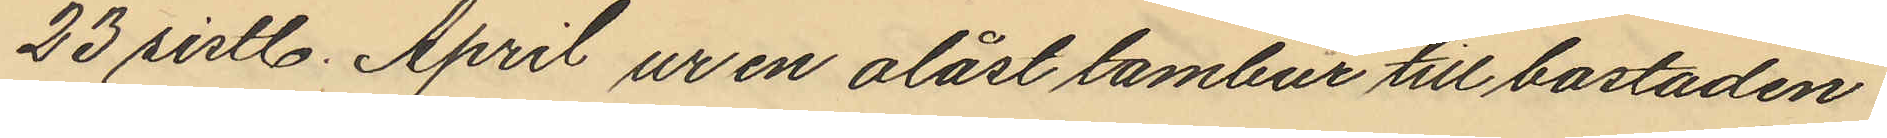23 sistl. April ur en olåst tambur till bostaden
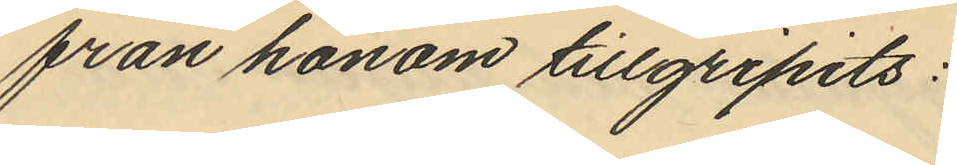från honom tillgripits:
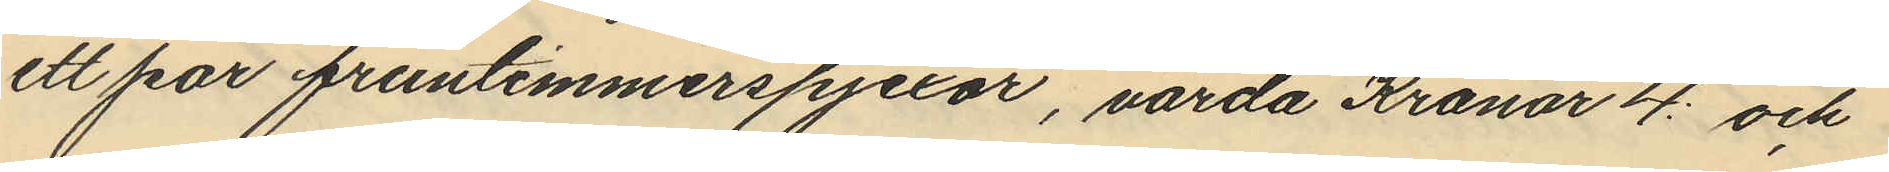ett par fruntimmerspjexor, värda Kronor 4: och
